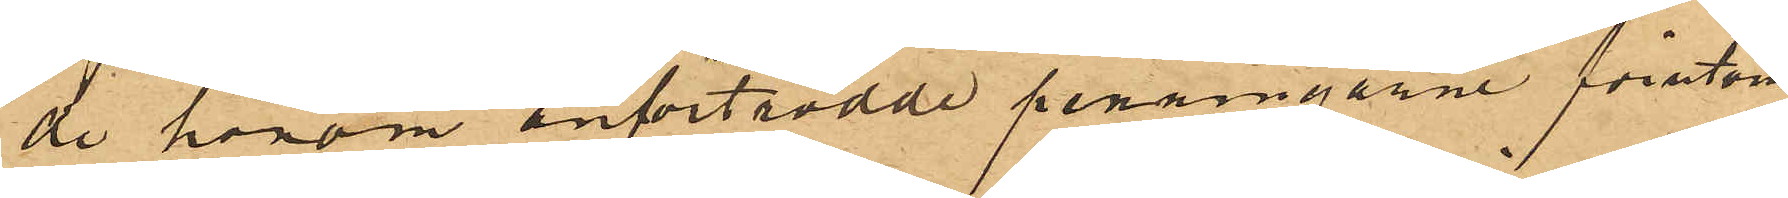de honom anförtrodde penningarne förutom
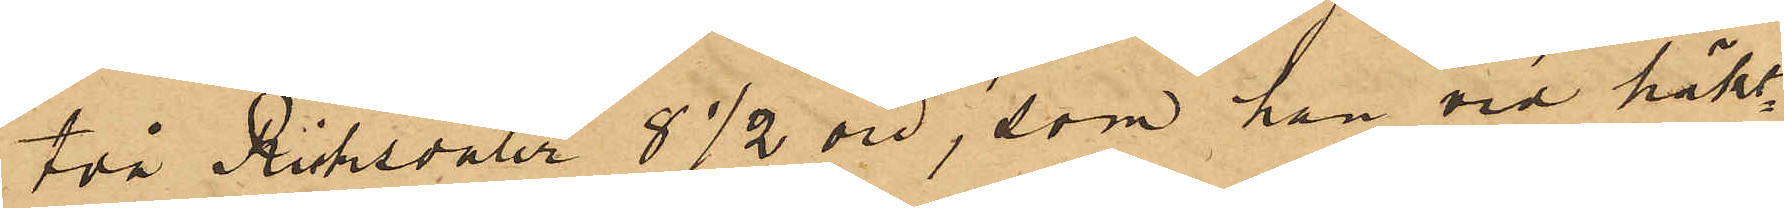två Riksdaler 8½ öre, som han vid häkt¬
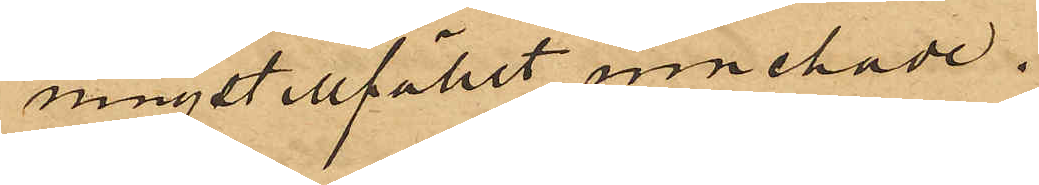ningstillfället innehade.
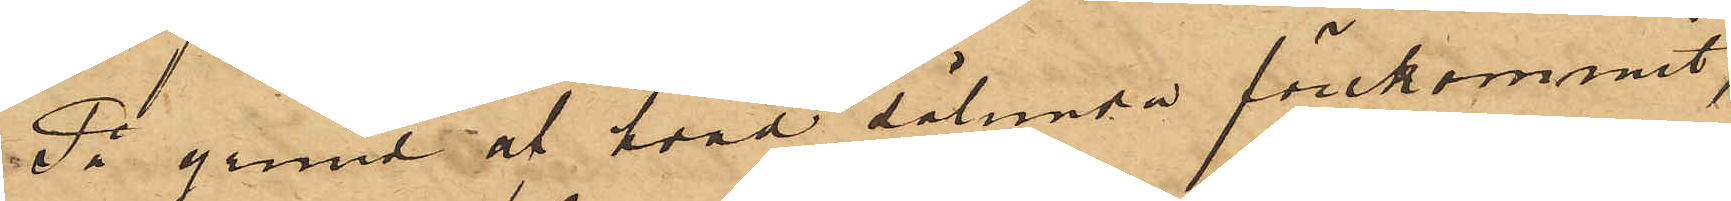På grund af hvad sålunda förekommit,
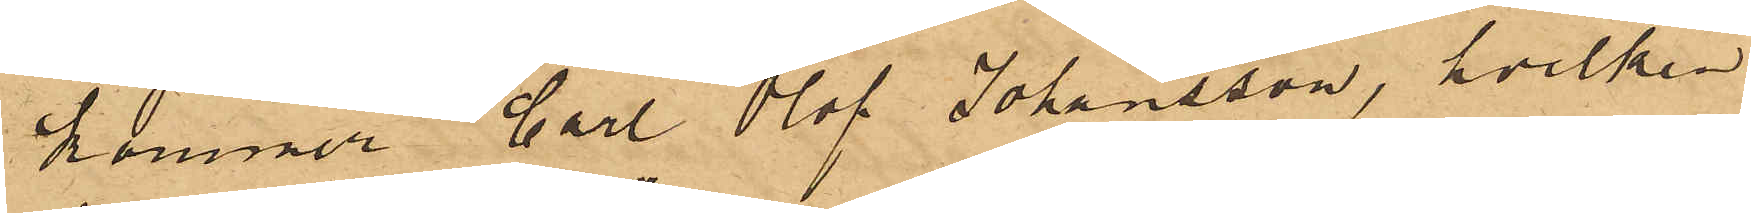kommer Carl Olof Johansson, hvilken
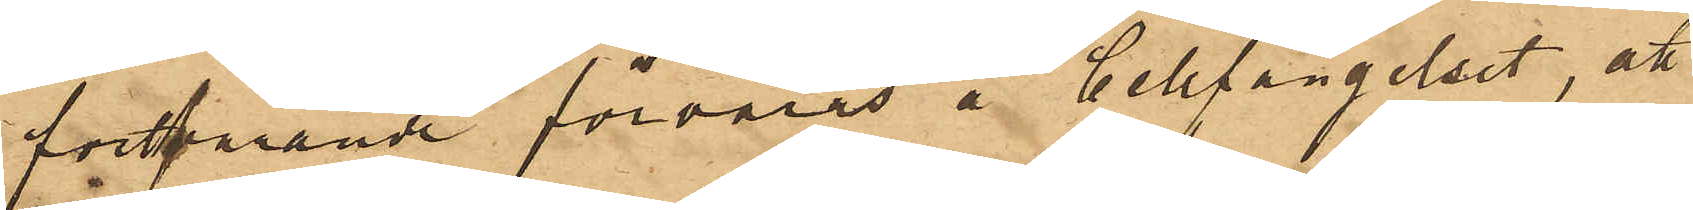fortfarande förvaras å Cellfängelset, att
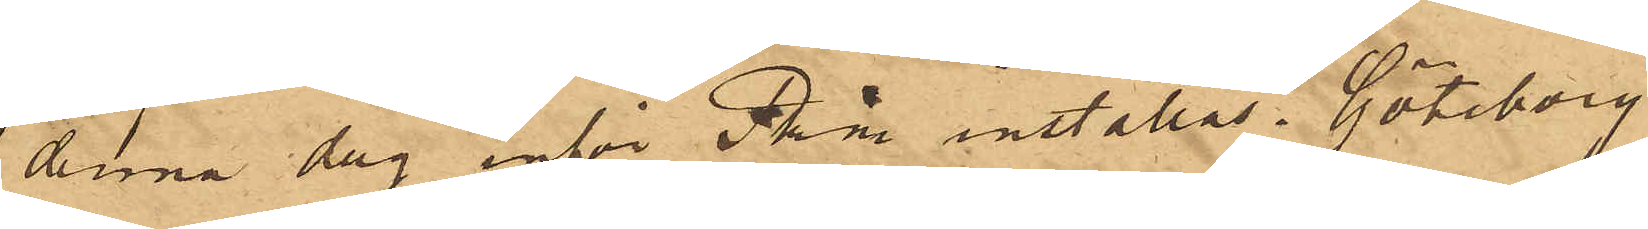denna dag inför Pkm inställas. Göteborg
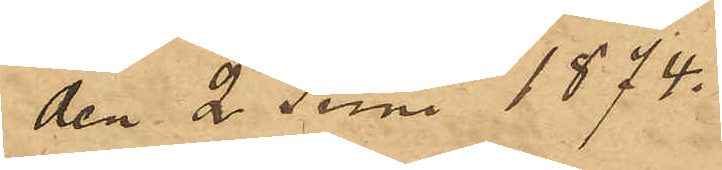den 2 Juni 1874.
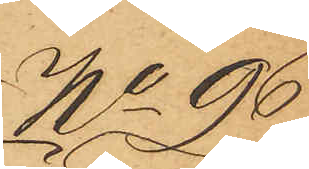No 96
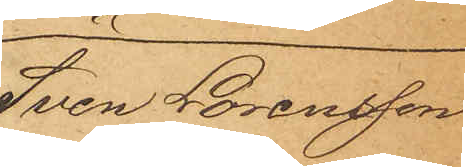Sven Lorensson
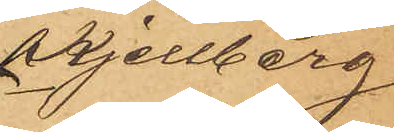Kjellberg
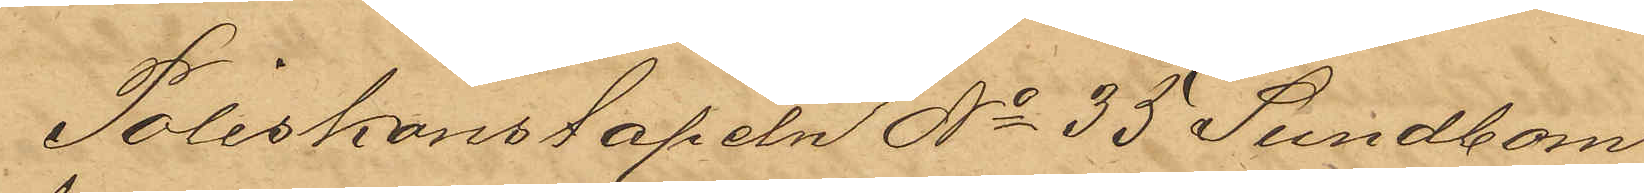Poliskonstapeln No 35 Sundbom
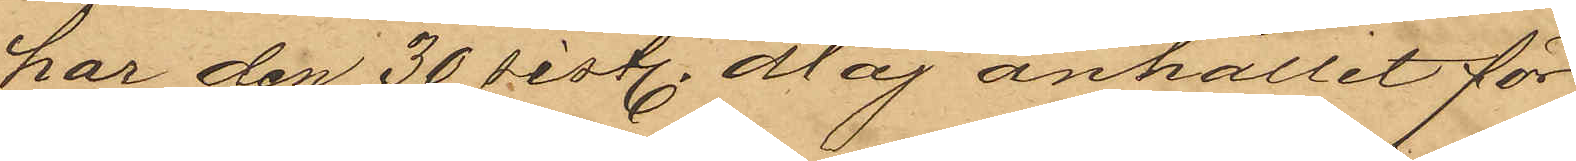har den 30 sist. Maj anhållit för
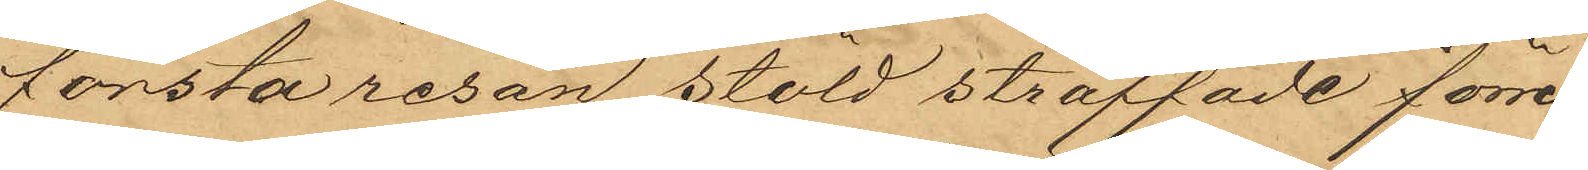första resan stöld straffade förre
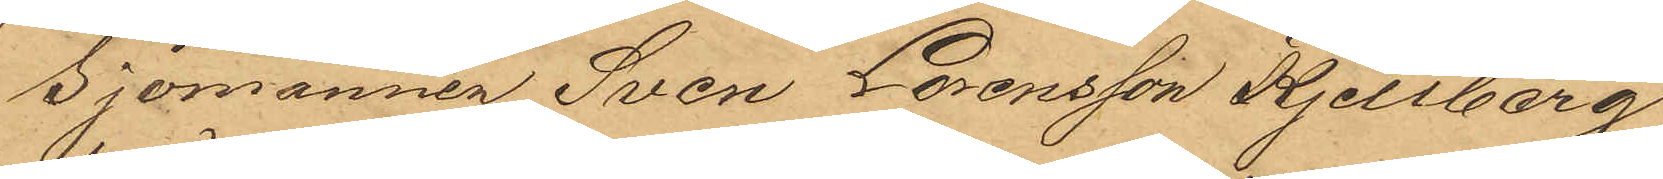Sjömannen Sven Lorensson Kjellberg
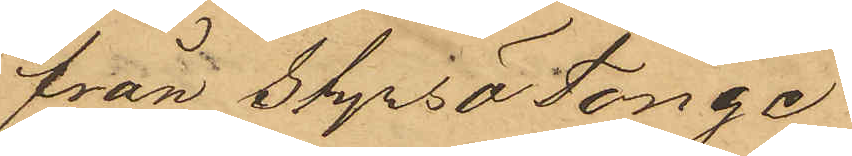från Styrsö Tonge
